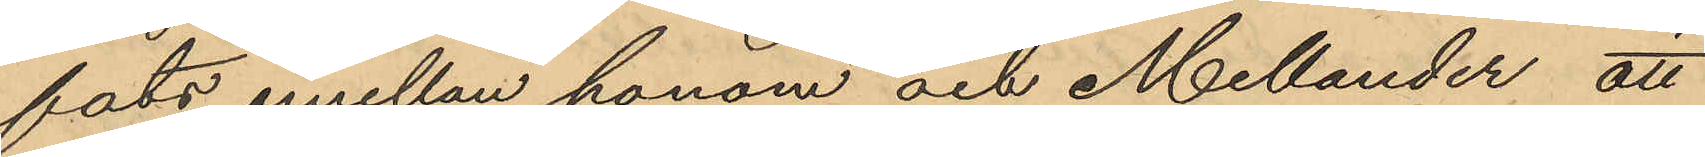fats emellan honom och Mellander att
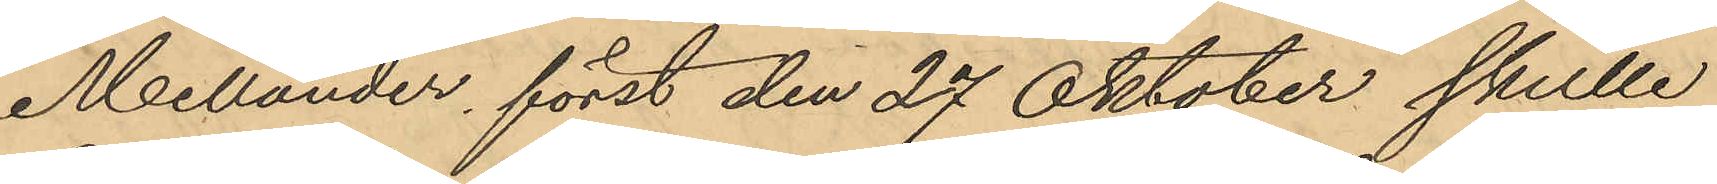Mellander, först den 27 Oktober skulle
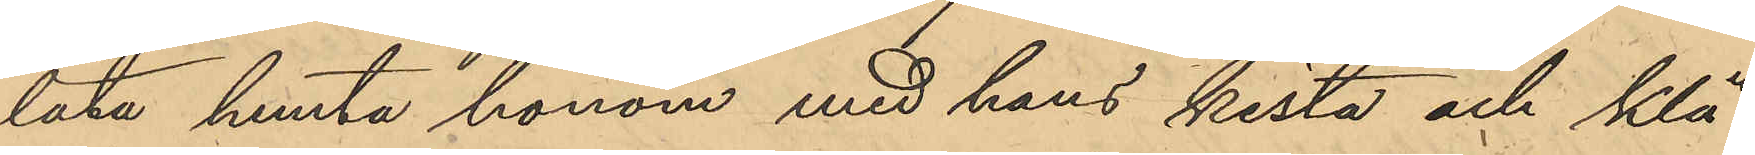låta hemta honom med hans kista och klä¬
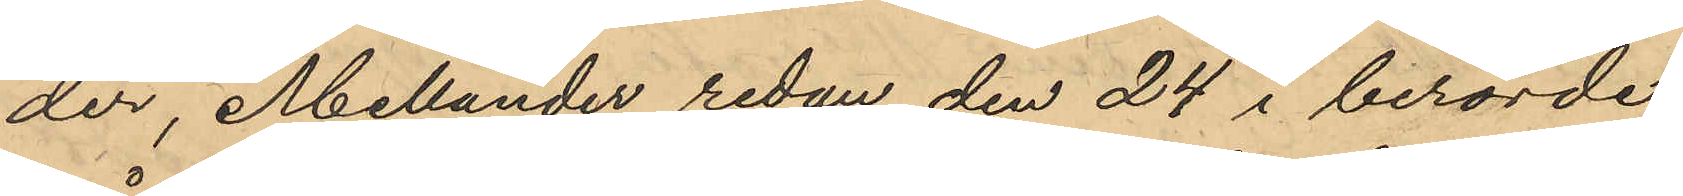der, Mellander redan den 24 i berörde
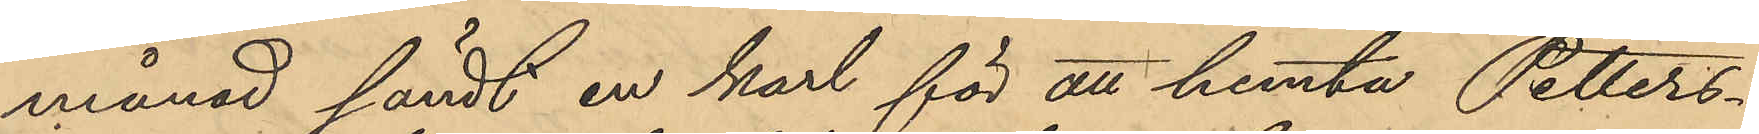månad sändt en karl för att hemta Petters¬
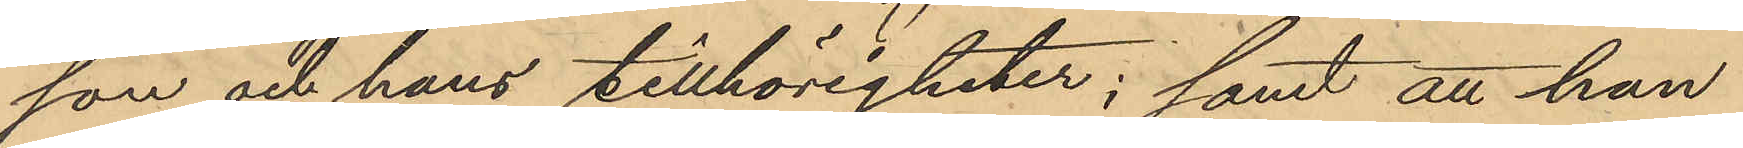son och hans tillhörigheter; samt att han
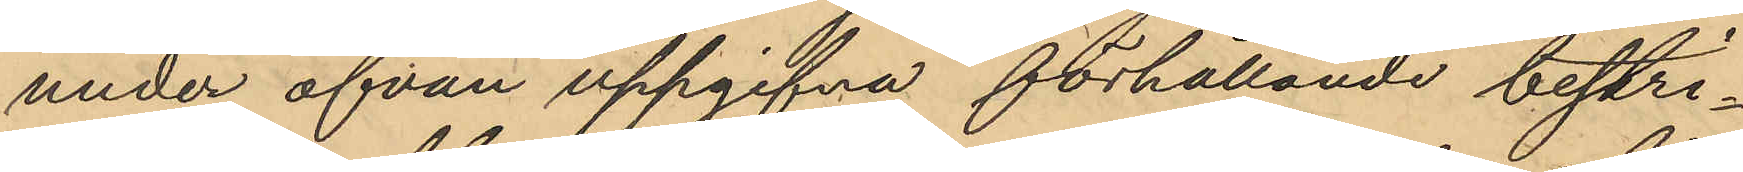under ofvan uppgifna förhållande bestri¬
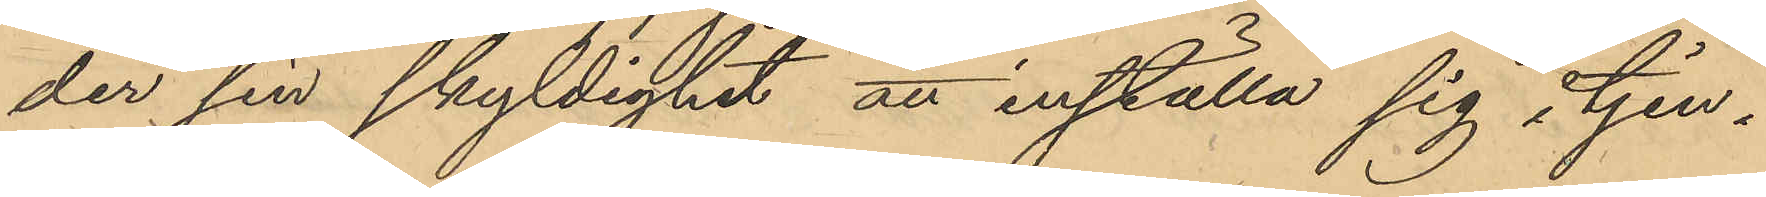der sin skyldighet att inställa sig i tjen¬
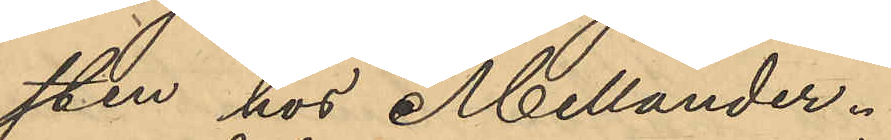sten hos Mellander.
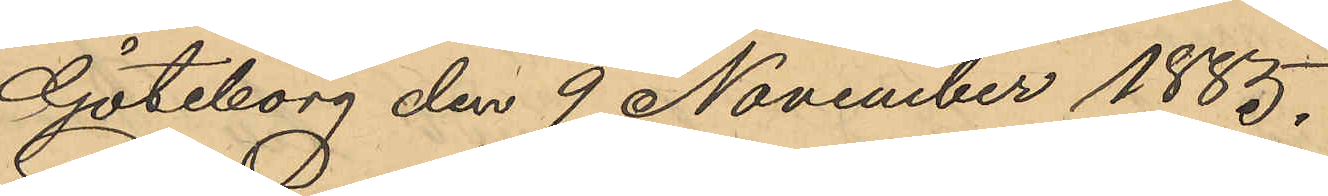Göteborg den 9 November 1885.
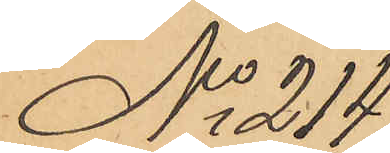No 214
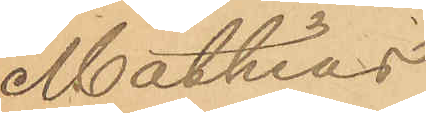Mathias
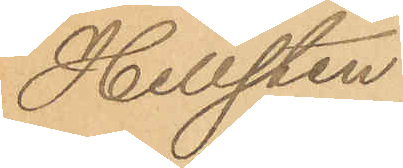Hellsten
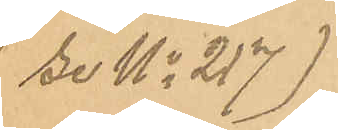(se No 217)
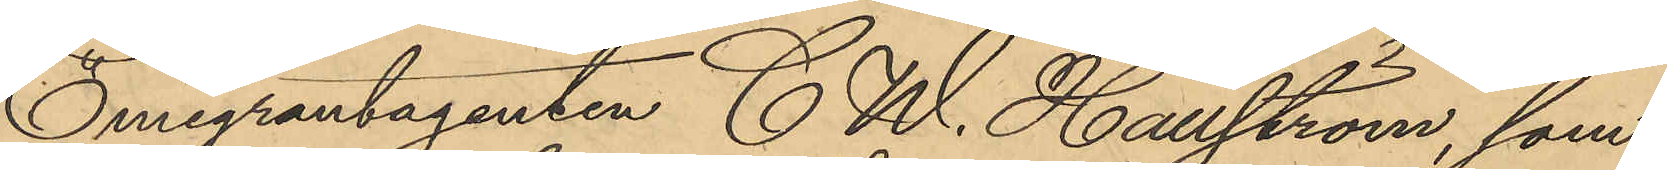Emigrantagenten C. W. Hällström som
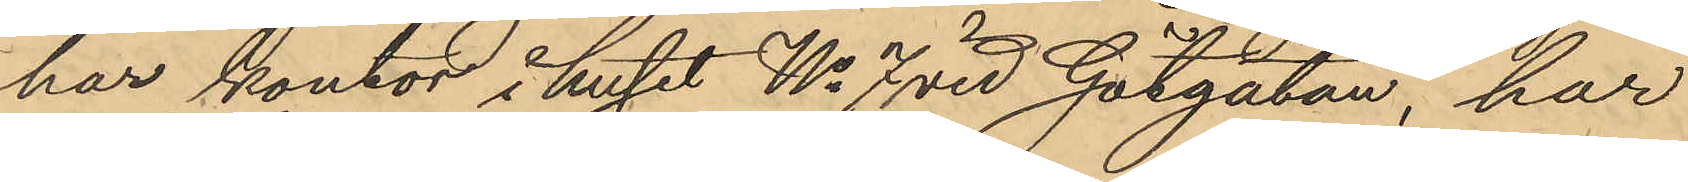har kontor i huset No 7 vid Götgatan, har
